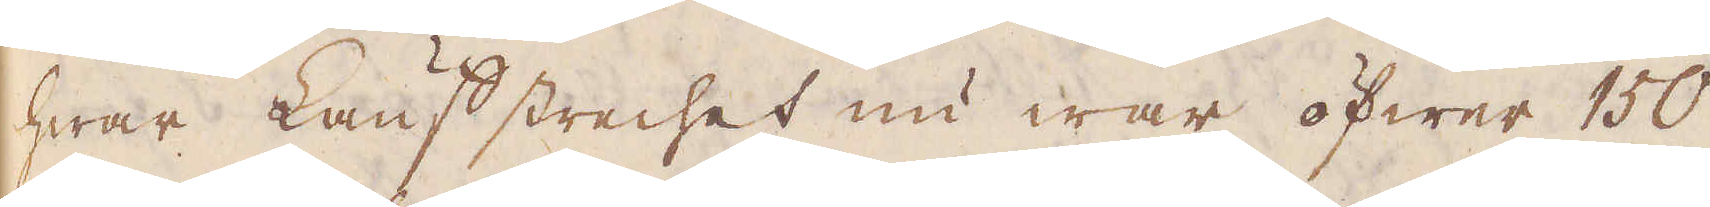hwar Lauf strechet nu war öfwer 150
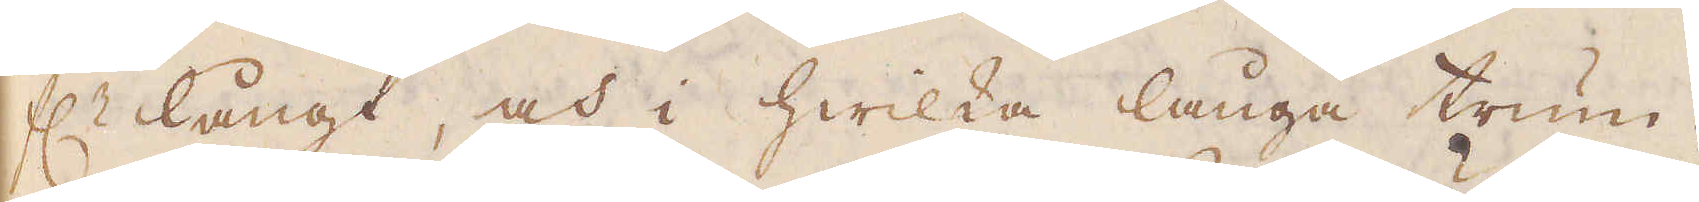f:r långt, och i hwilka långa trum-
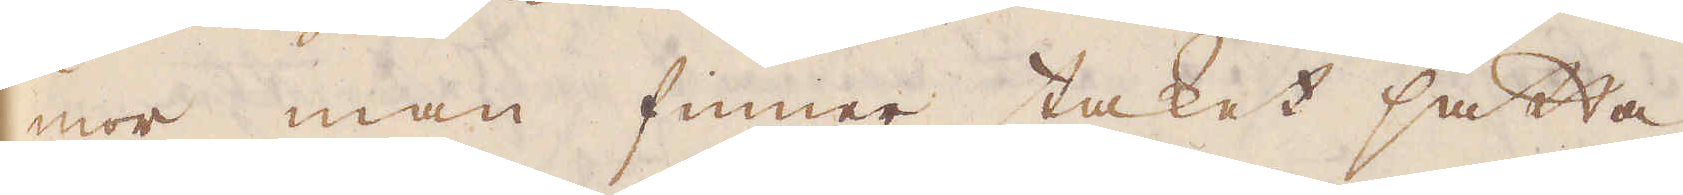mor man finner taket sätta
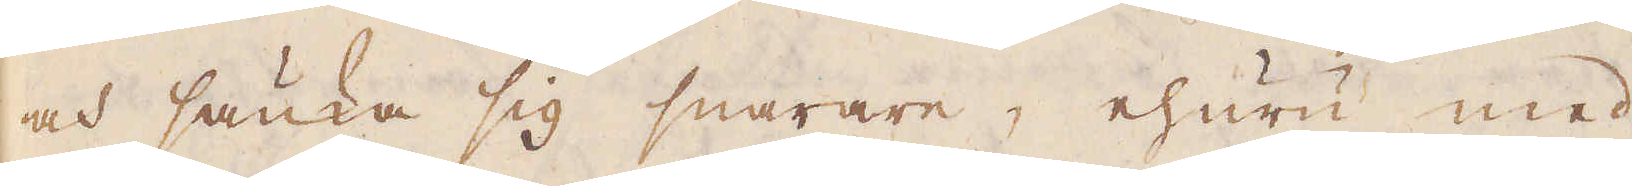och sänka sig snarare, ehuru med
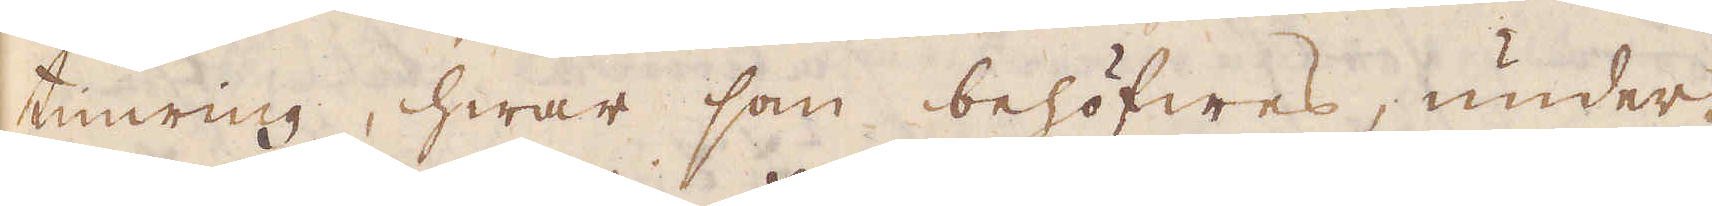timring, hwar som behöfwes, under-
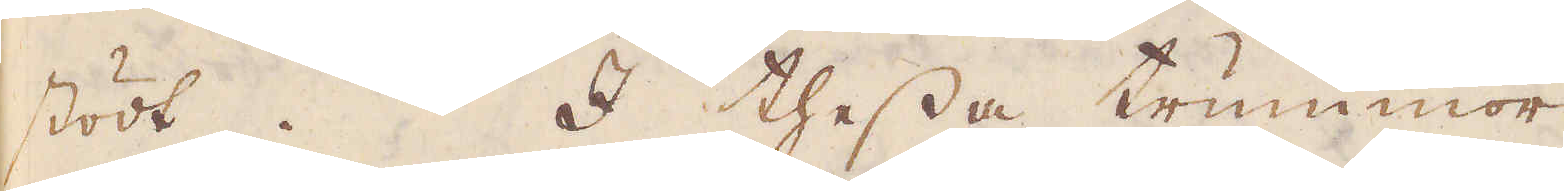stödt. I thessa trummor
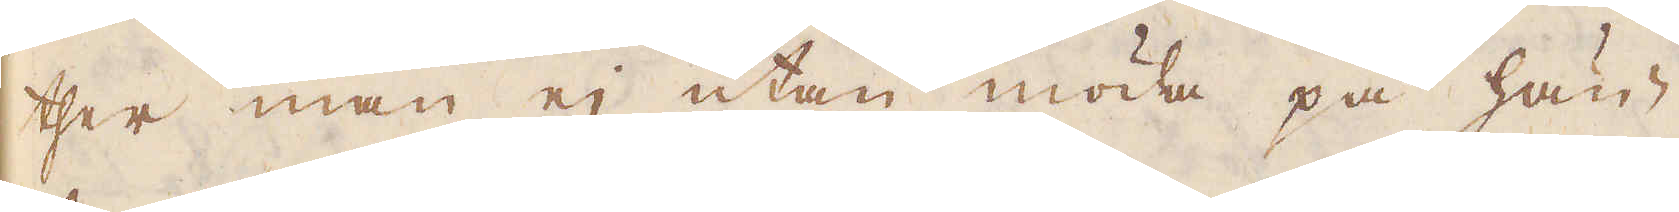ther man ej utan möda på hän-
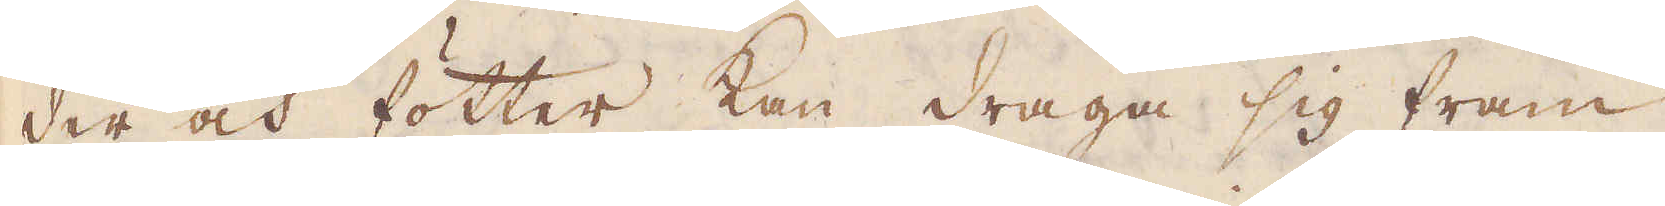der och fötter kan draga sig fram
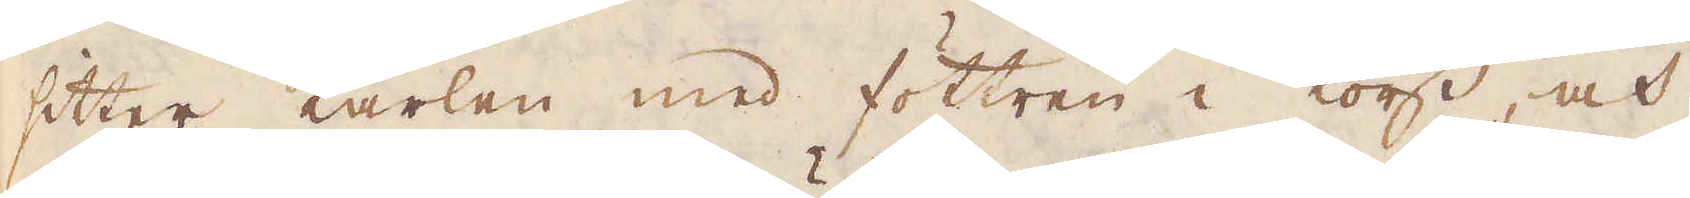sitter karlen med föttren i kors, och
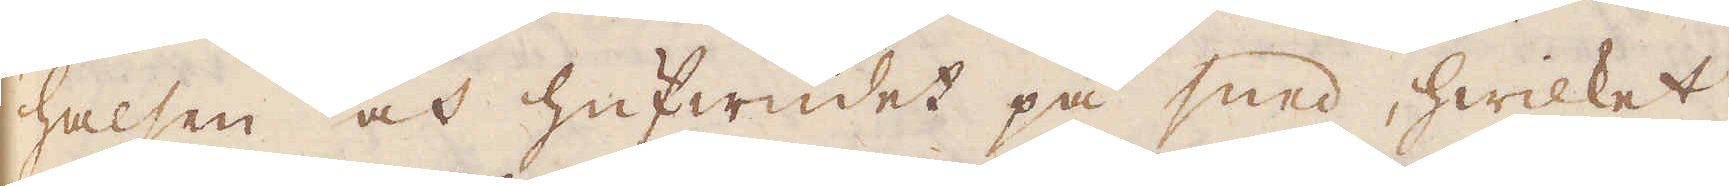halsen och hufwudet på sned, hwilket
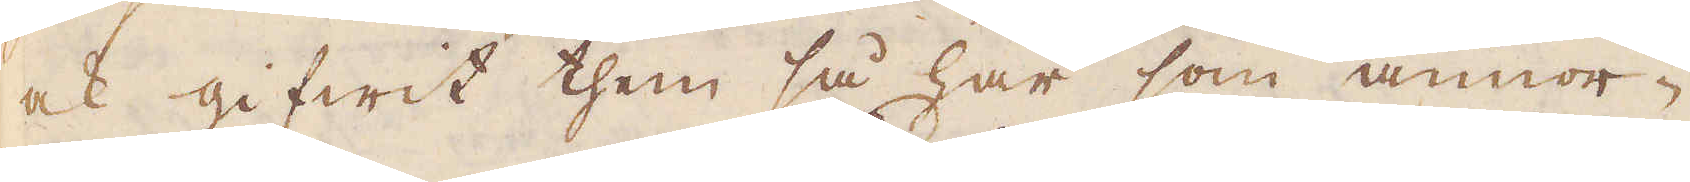ock gifwit them så här som annor-
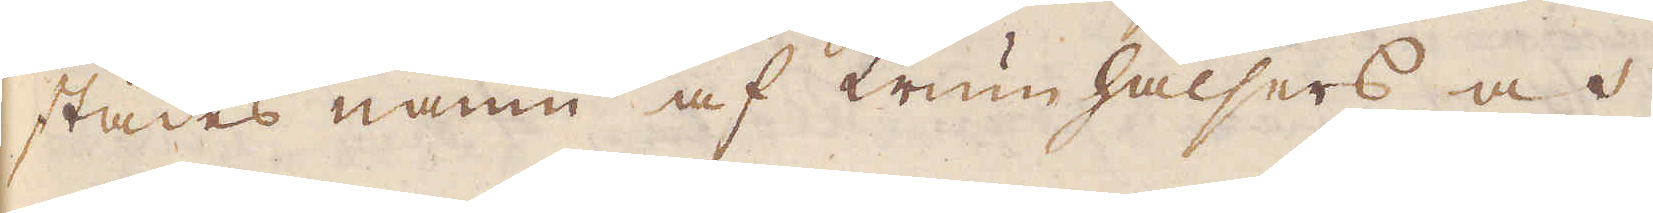städes namn af Krum hälsers och
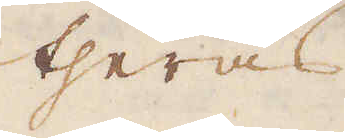theras
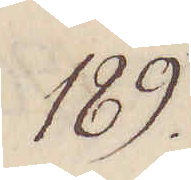189.
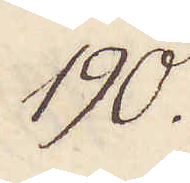190.
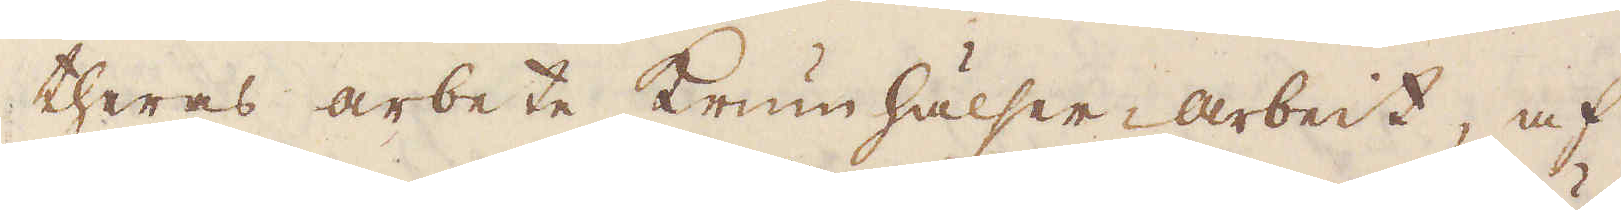theras arbete krumhälser arbeit, af
